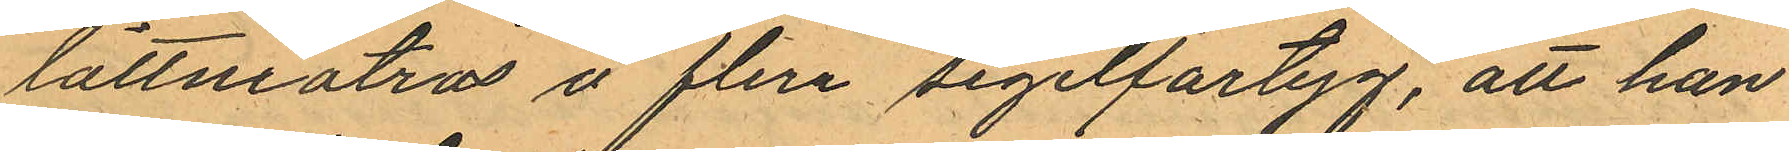lättmatros å flira segelfartyg, att han
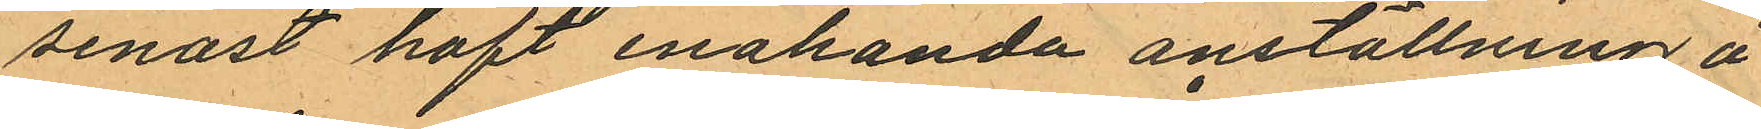senast haft enahanda anställning å
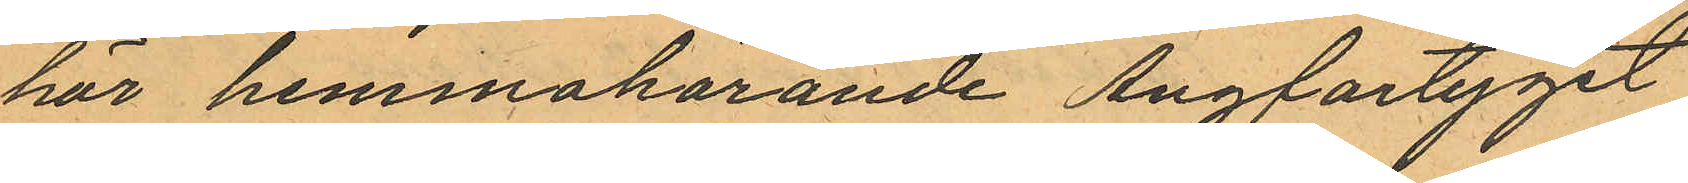hör hemmahörande Ångfartyget
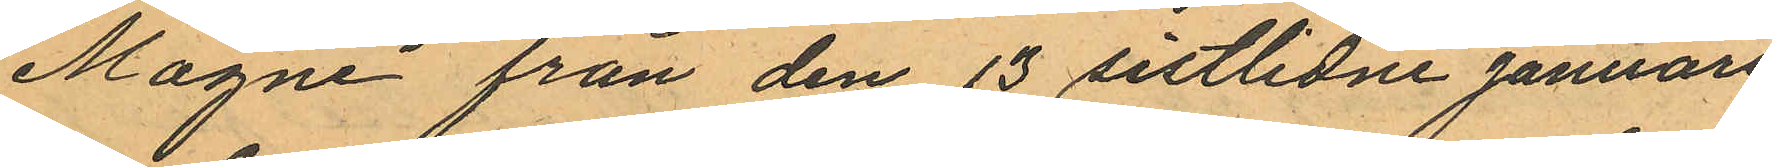"Magne" från den 13 sistlidne Januari
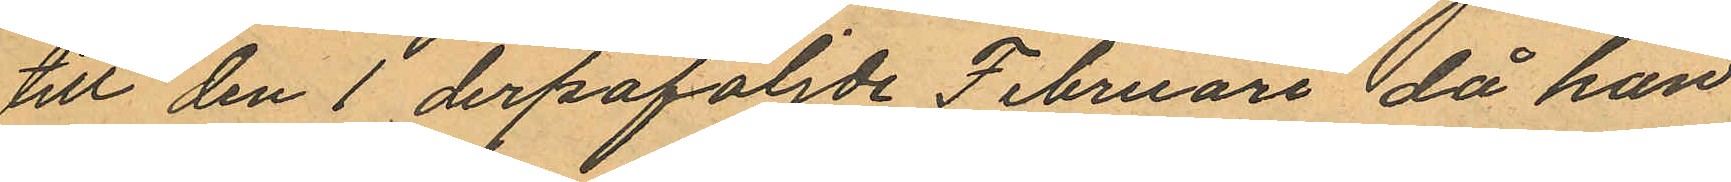till den 1 derpåföljde Februari, då han
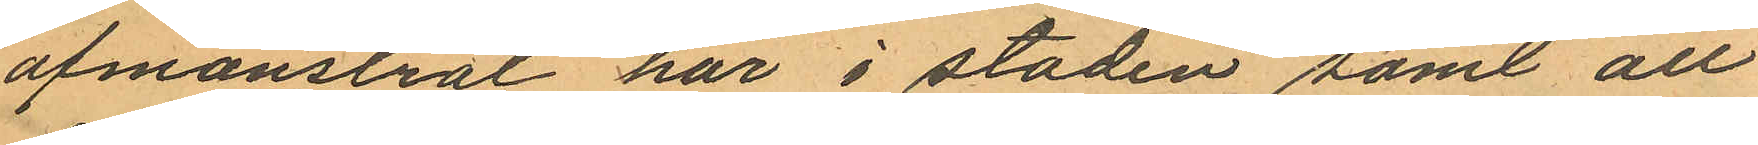afmönstrat här i staden samt att
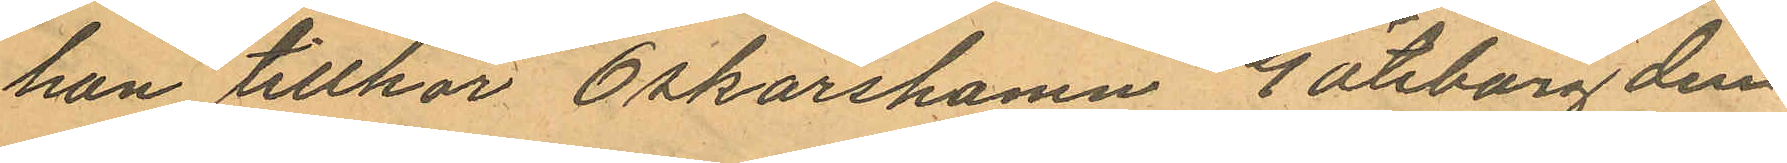han tillhör Oskarshamn Göteborg den
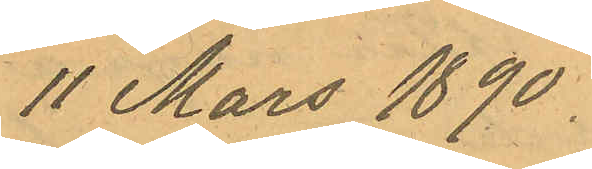11 Mars 1890.
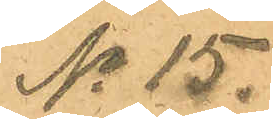No 15.
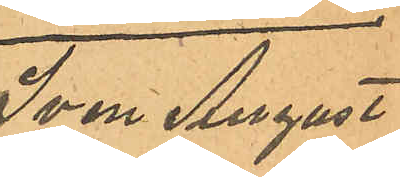Sven August
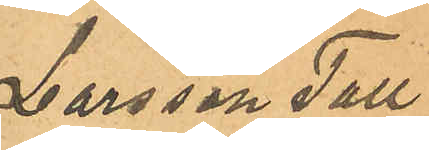Larsson Tall
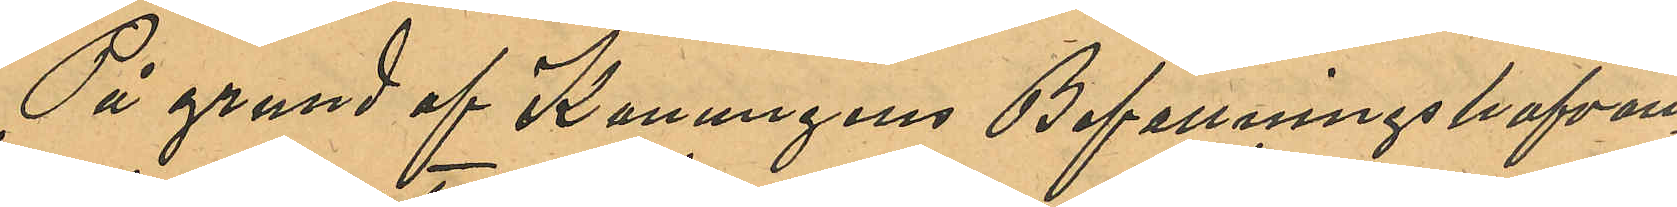På grund af Konungens Befallningshafvan¬
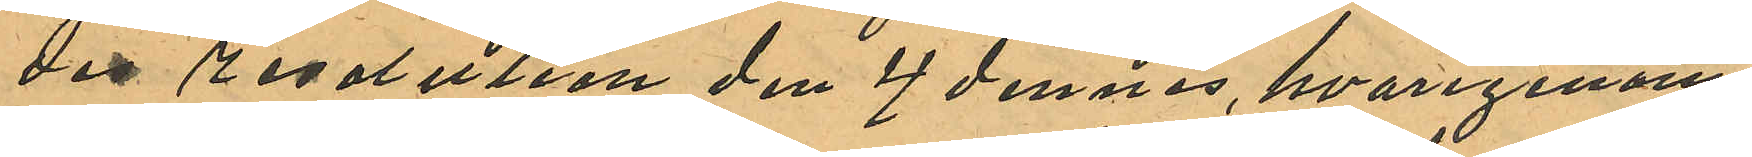des resolution den 4 dennes, hvarigenom
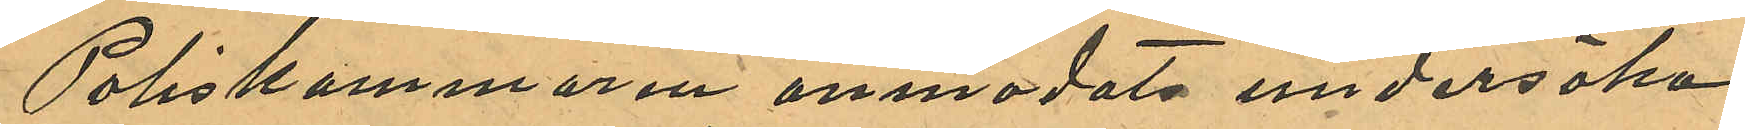Poliskammaren anmodats undersöka
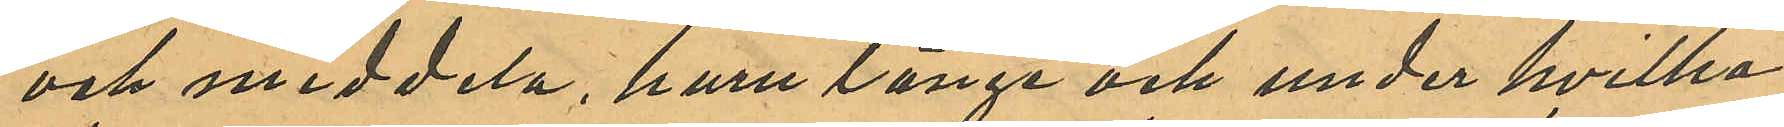och meddela, huru länge och under hvilka
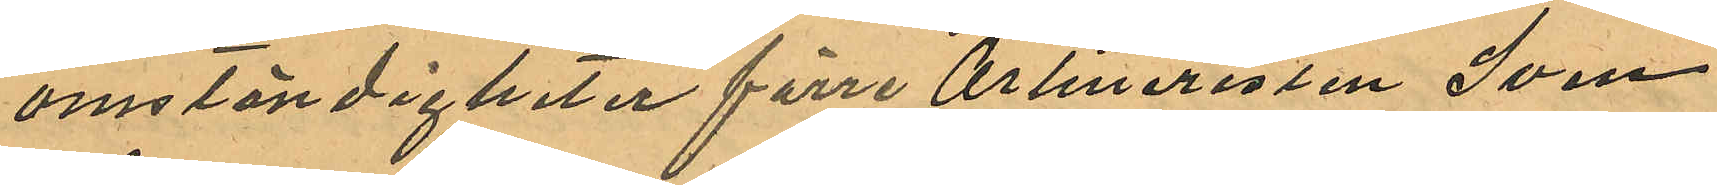omständigheter förre Artilleristen Sven
